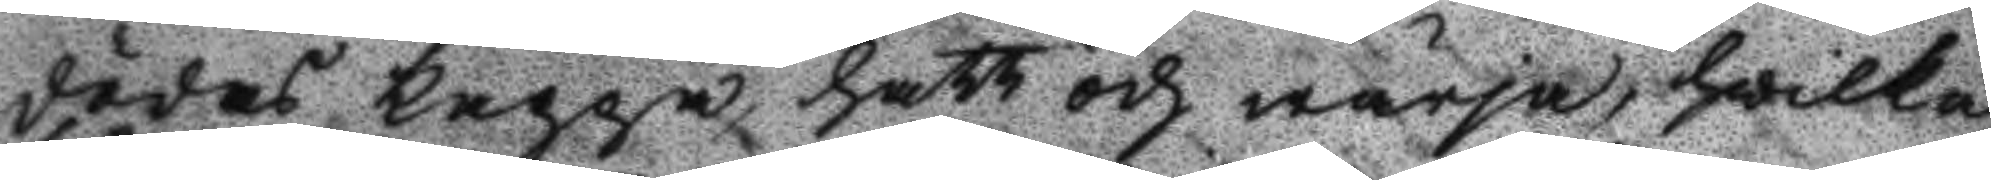dödes kappa, hatt och wärja, hwilka
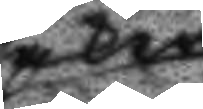saker
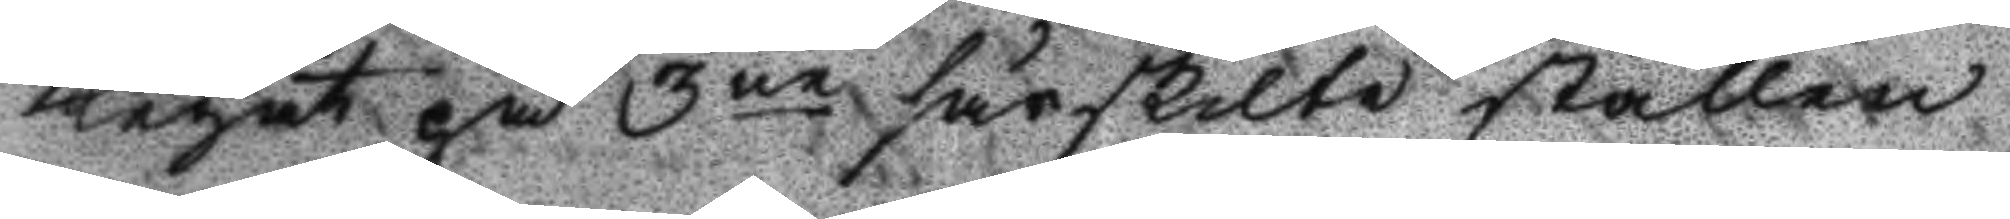legat på 3ne särskilte ställen
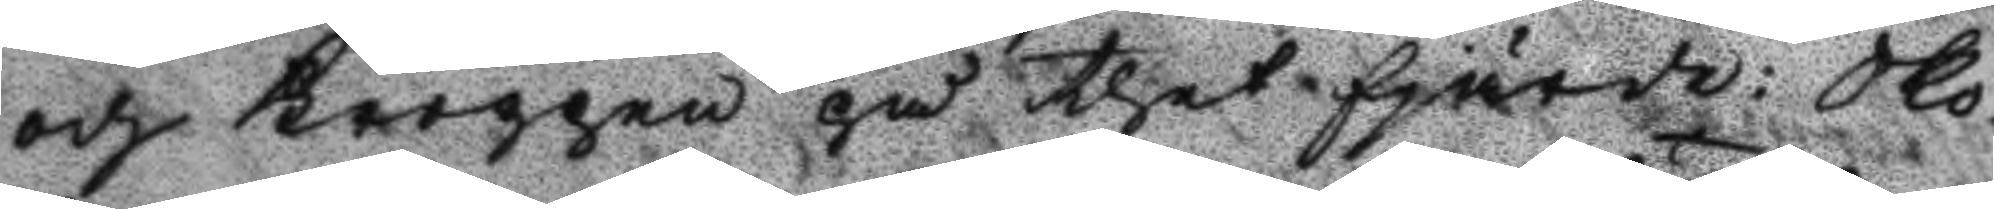och kroppen på thet sjärde: Sko¬
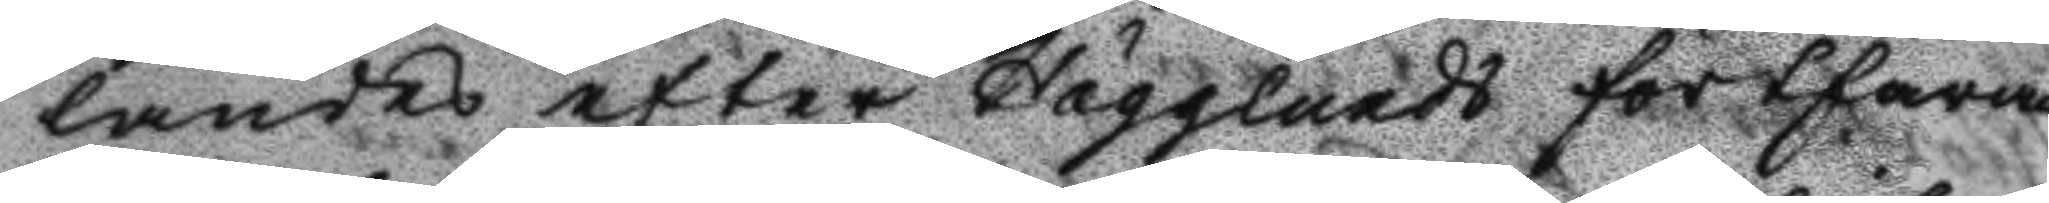landes efter Hägglunds fortfaran¬
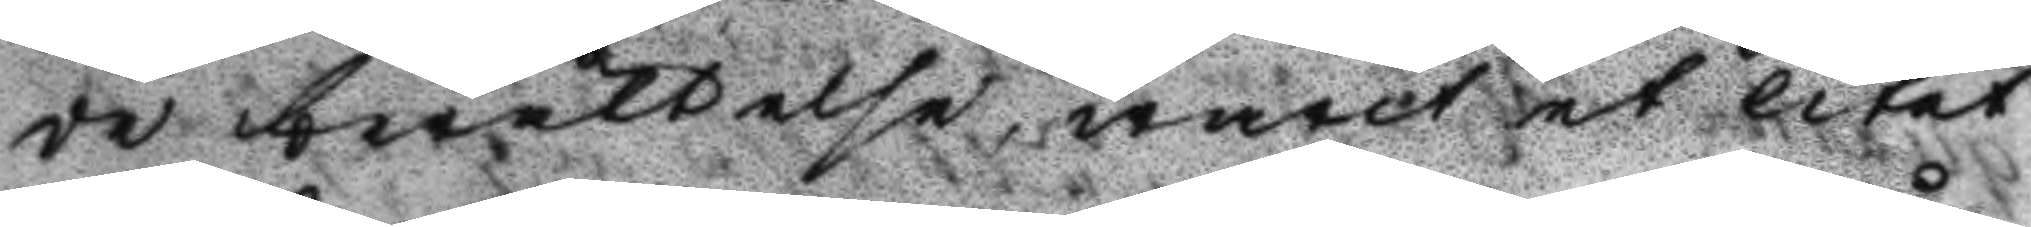de berättelse, warit et litet
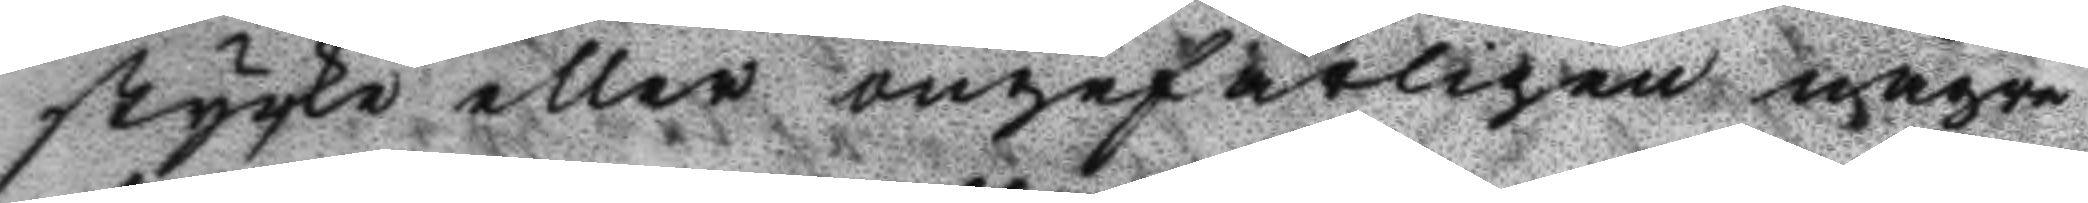stycke eller ongefärligen någre
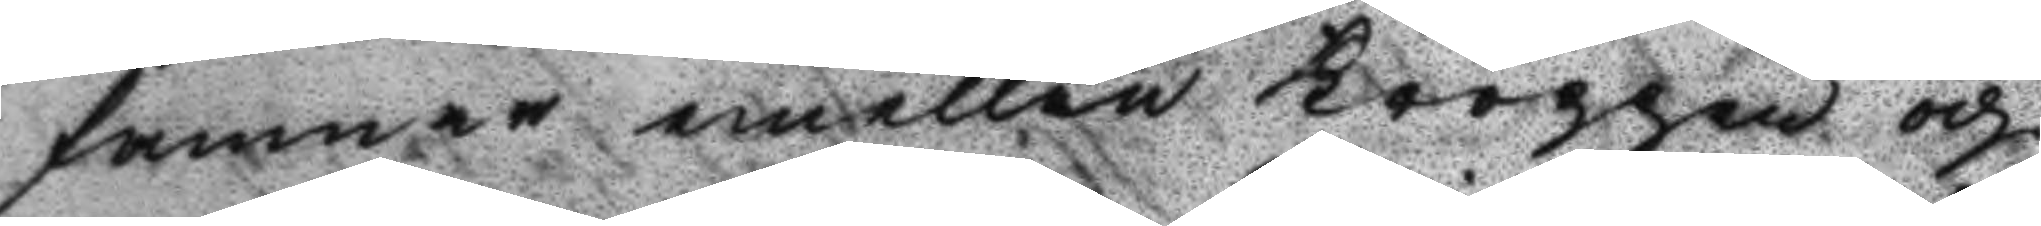famner emellan kroppen och
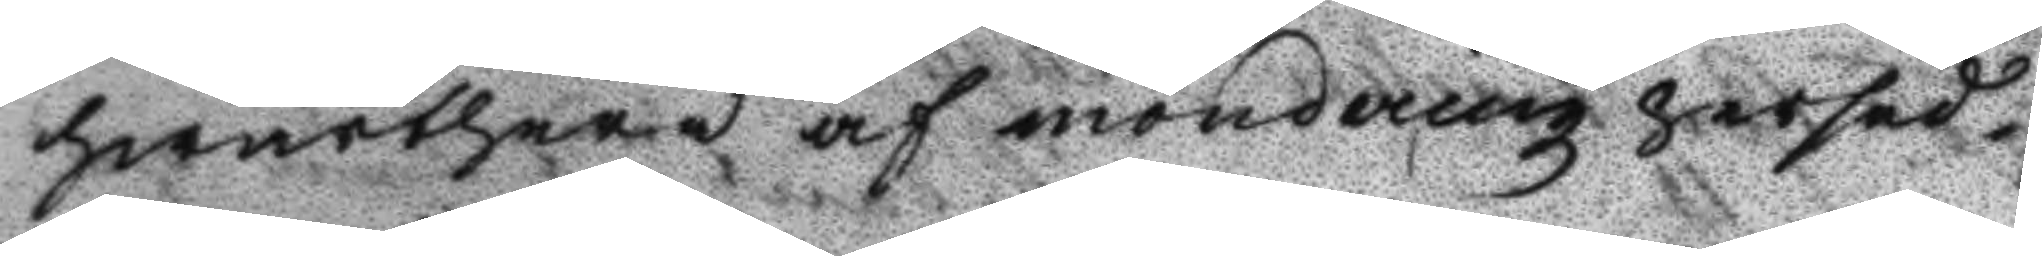hwarthera af monderingz persed¬
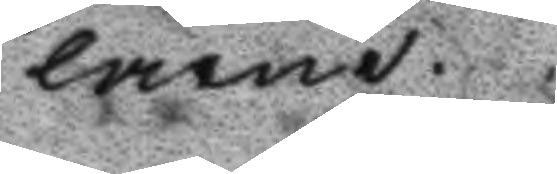larne.
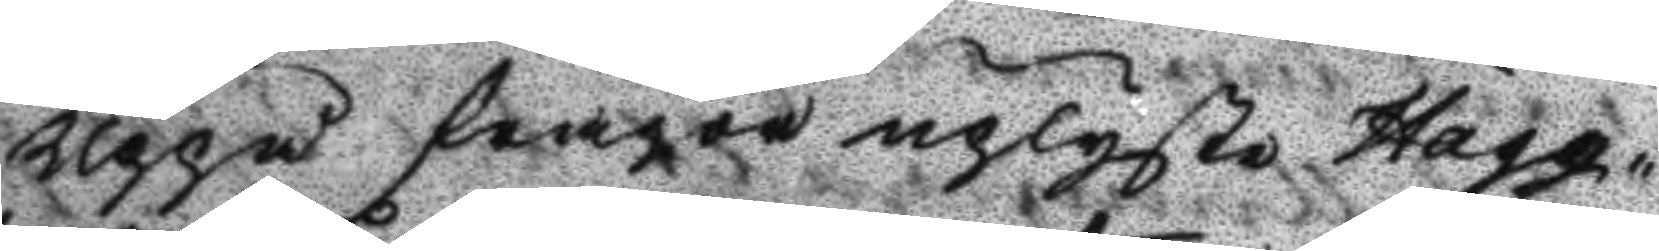Uppå fråga uplyste Hägg¬
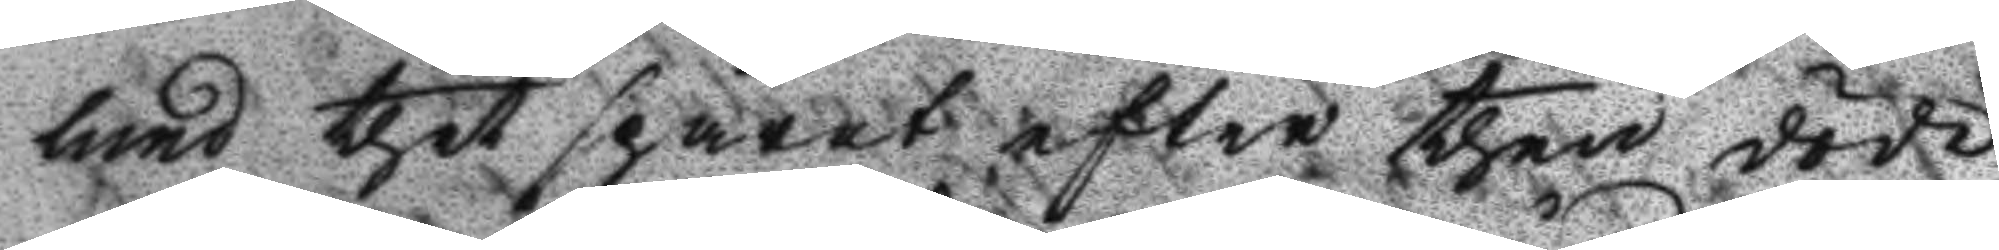lund thet spåret efter then döde
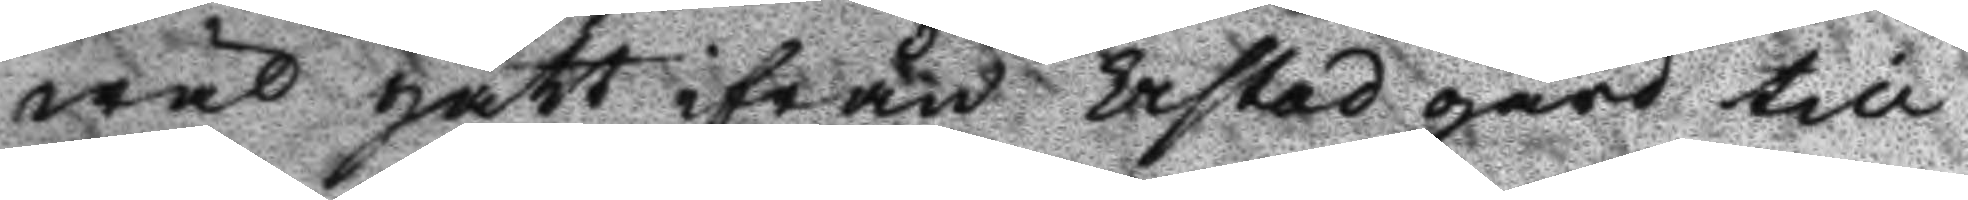wäl gått ifrån Erstad gård till
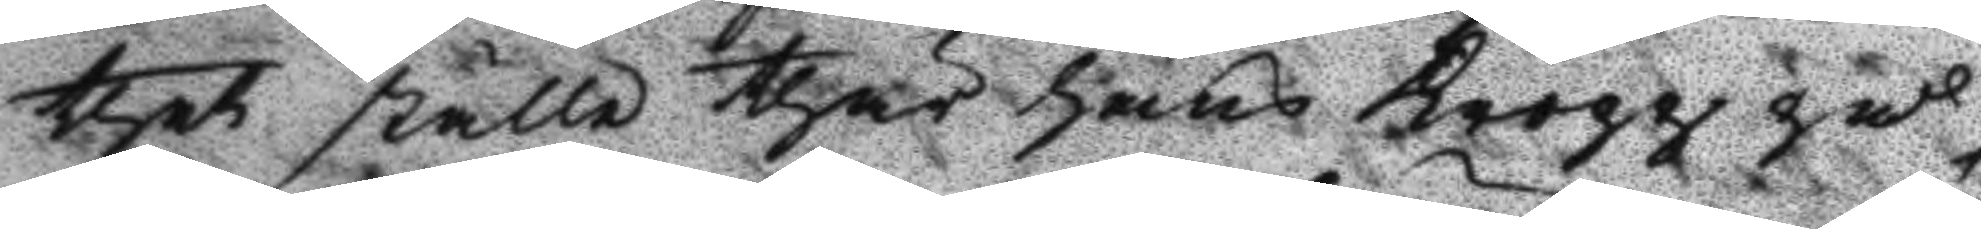thet ställe thär hans kropp på¬
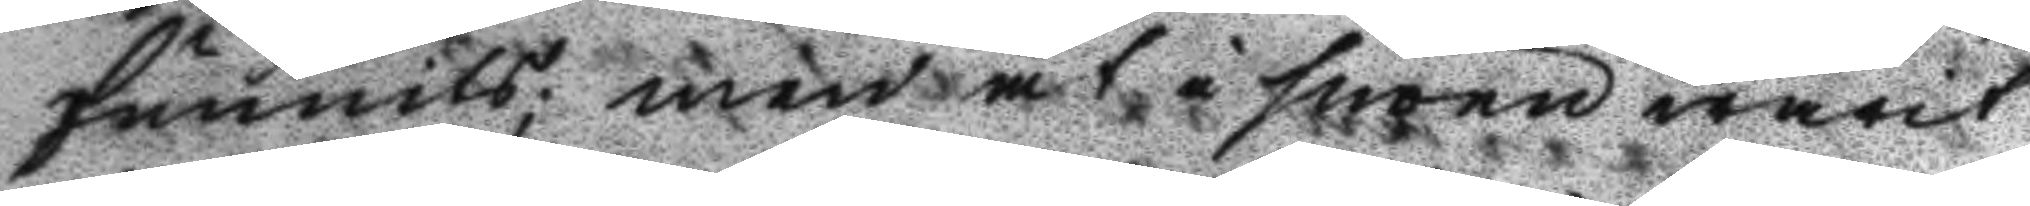funnits; men at i snöen warit
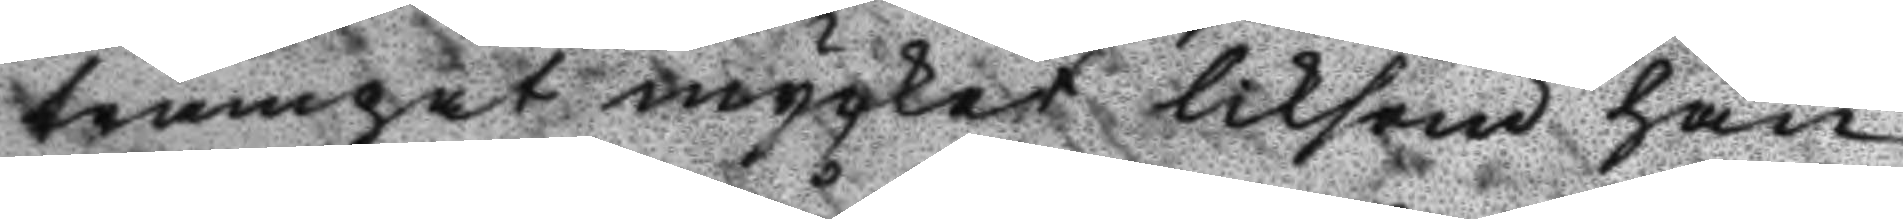trampat mycket liksom han
